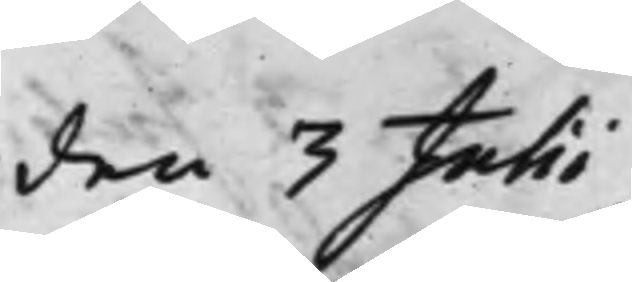den 3 Julii
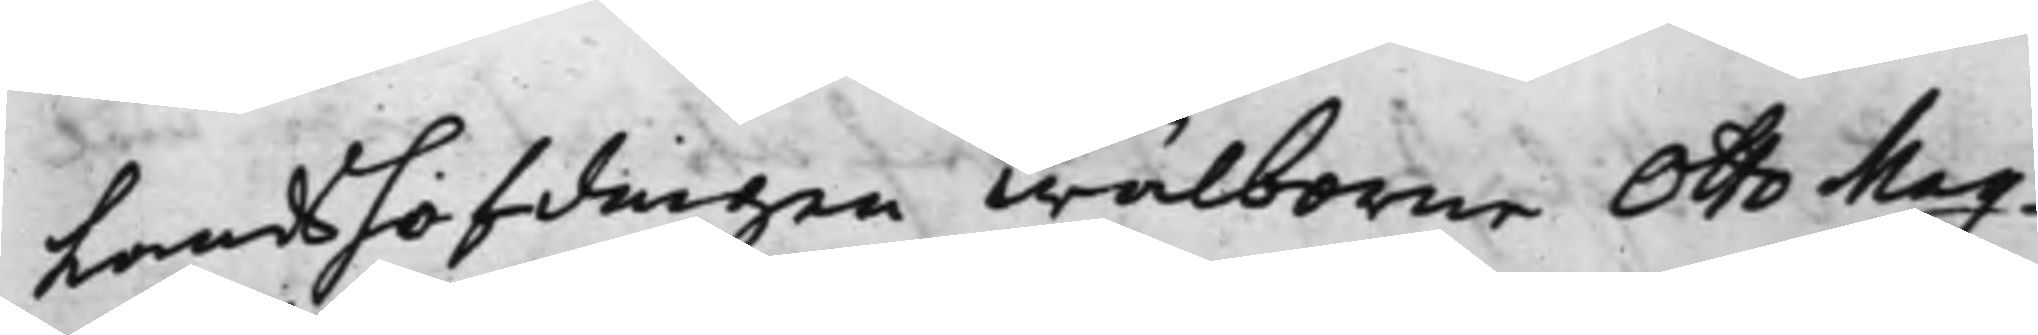Landshöfdingen Wälborne Otto Mag¬
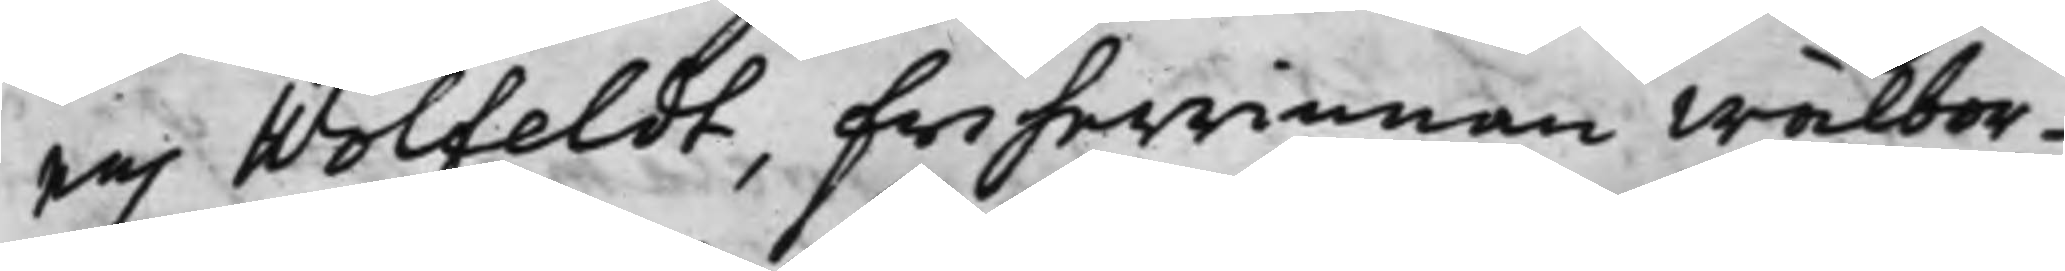nus Wolfeldt, Friherrinnan wälbor¬
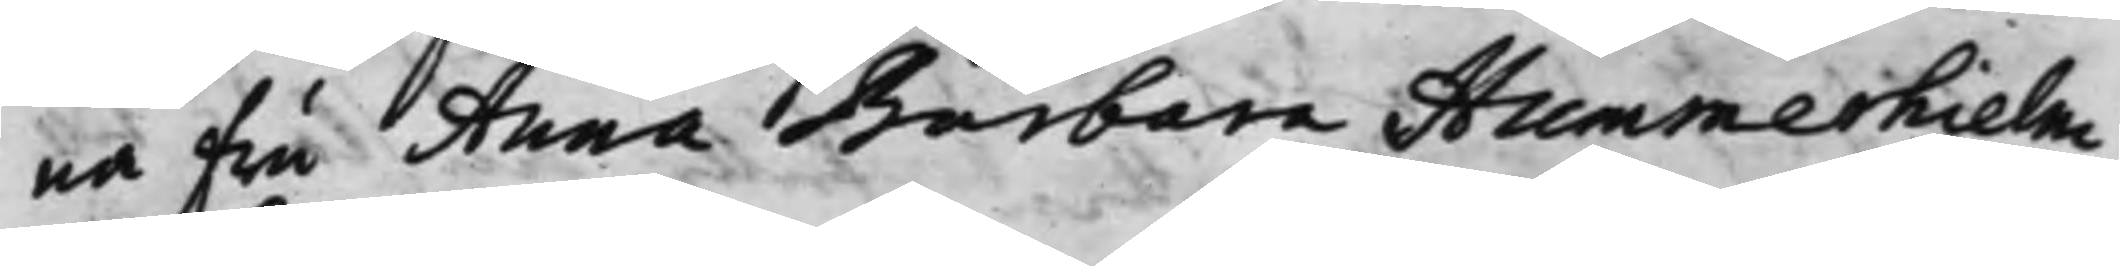na Fru Anna Barbara Hummerhielm
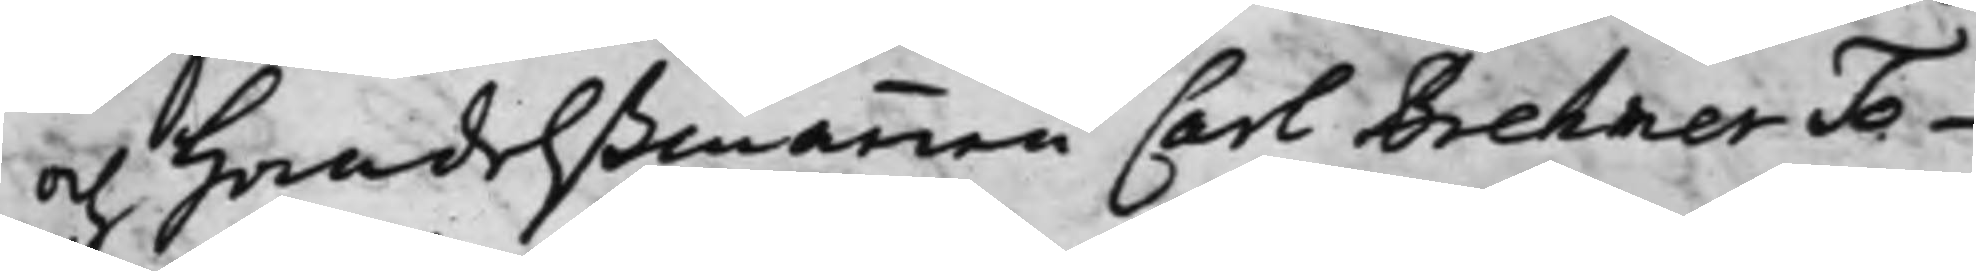och Handelßmannen Carl Brehmer To¬
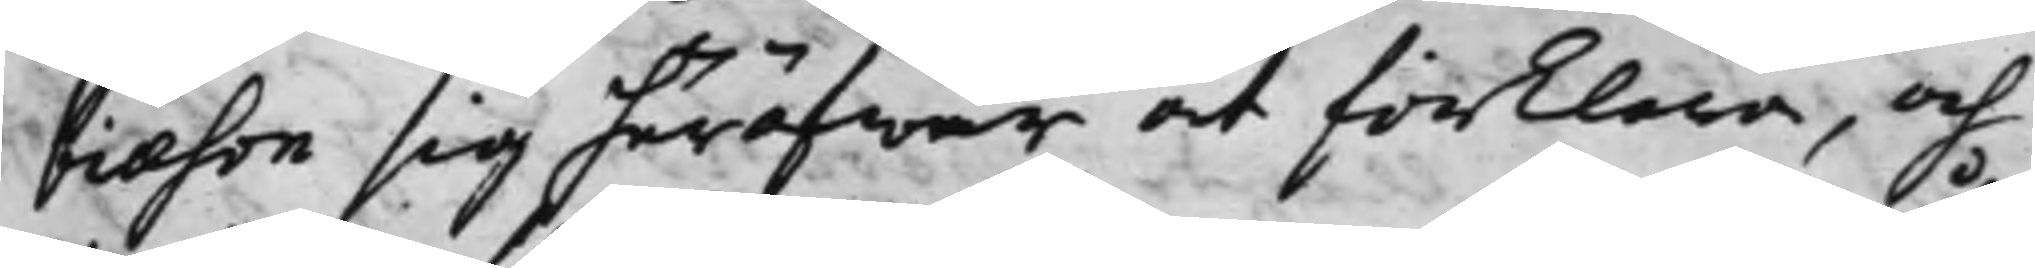biæson sig häröfwer at förklara, och
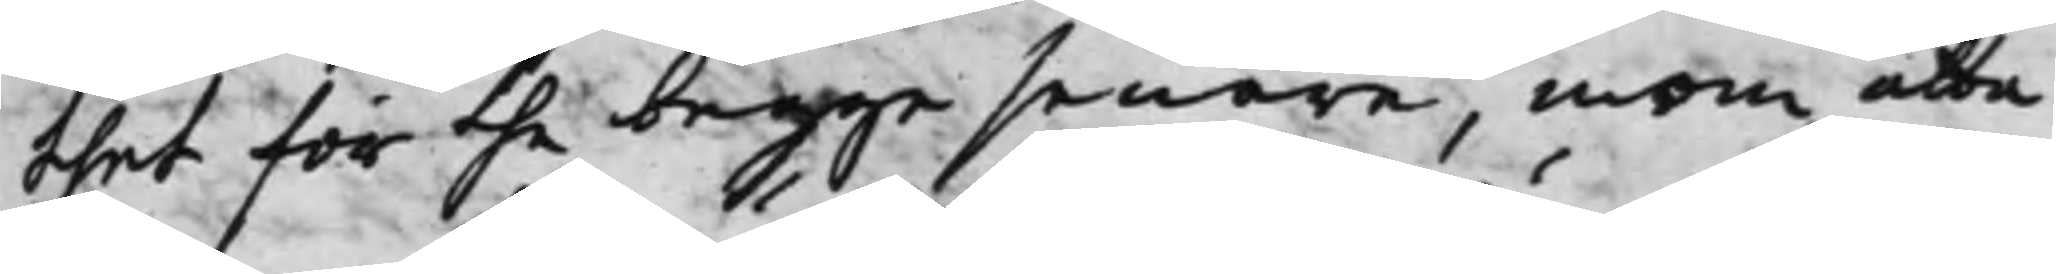thet för the begge senare, inom åtta
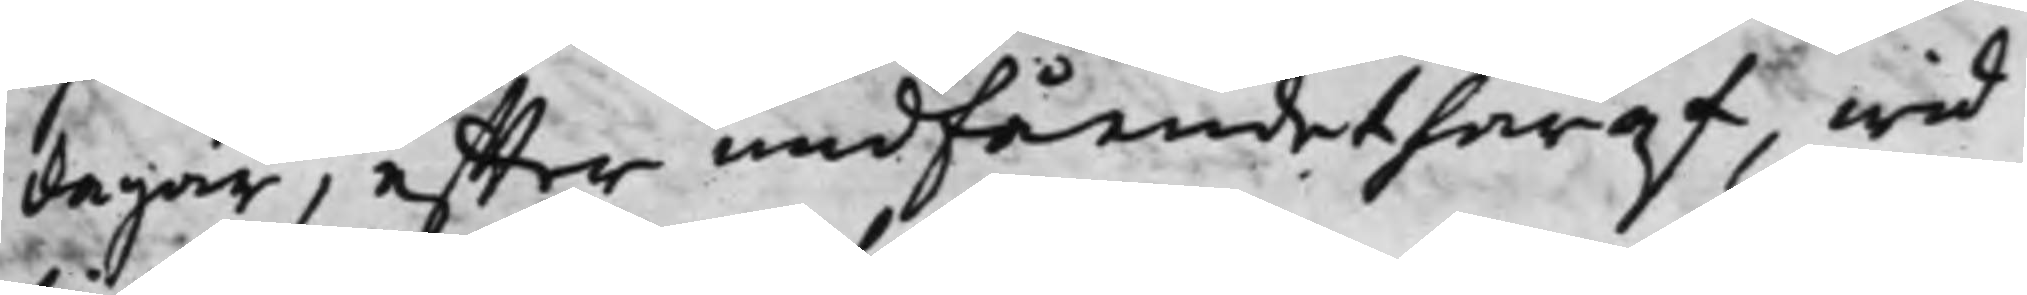dagar, effter undfåendet häraf, wid
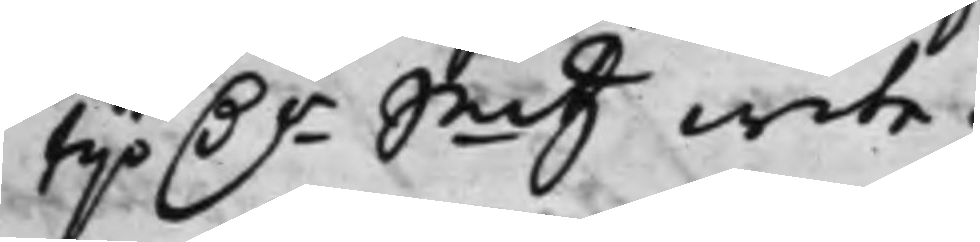tijo D.r Smtz wite.
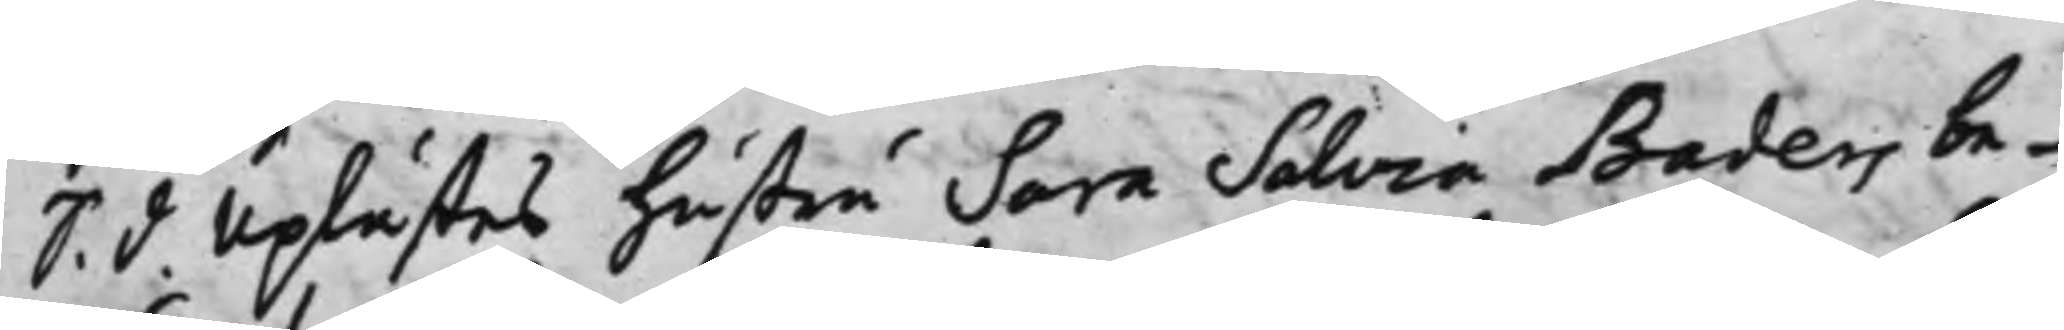S. d. Uplästes Hustru Sara Salvia Baders be¬
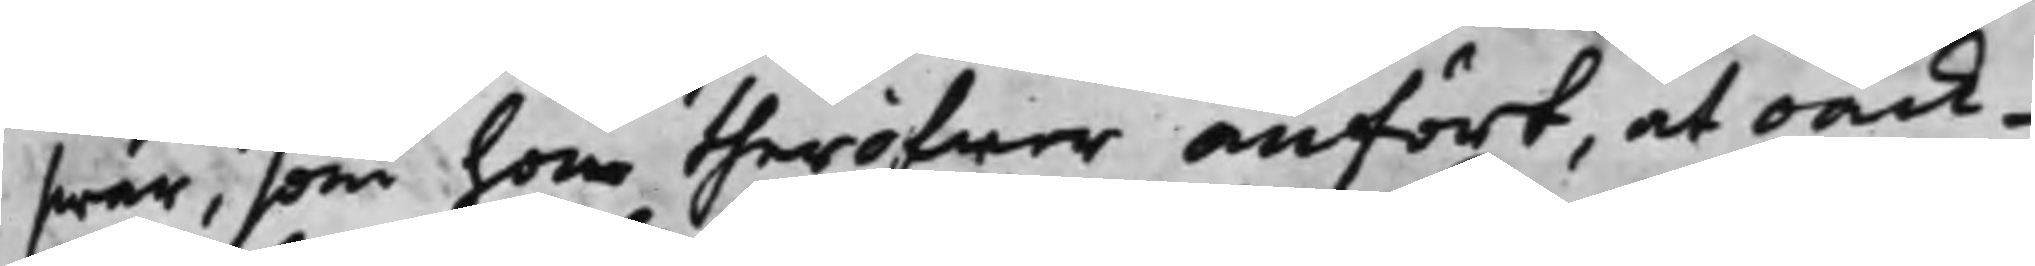swär, som hon theröfwer anfört, at oack¬
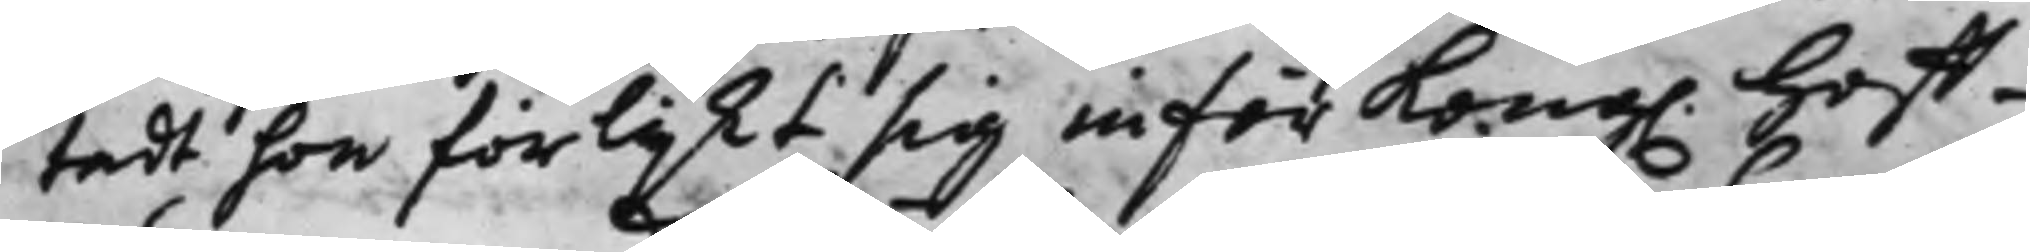tadt hon förlijkt sig inför Kong. Hoff¬
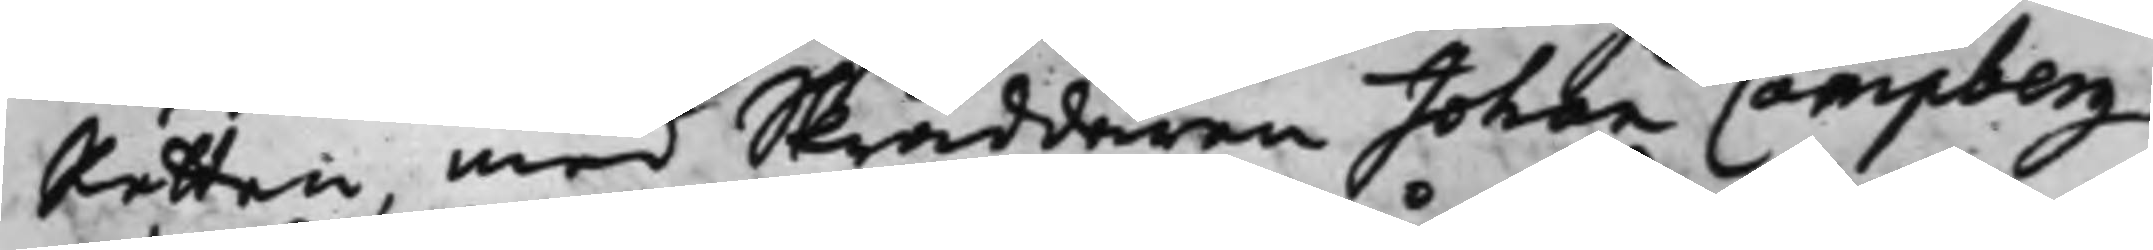Rätten, med Skräddaren Johan Campberg
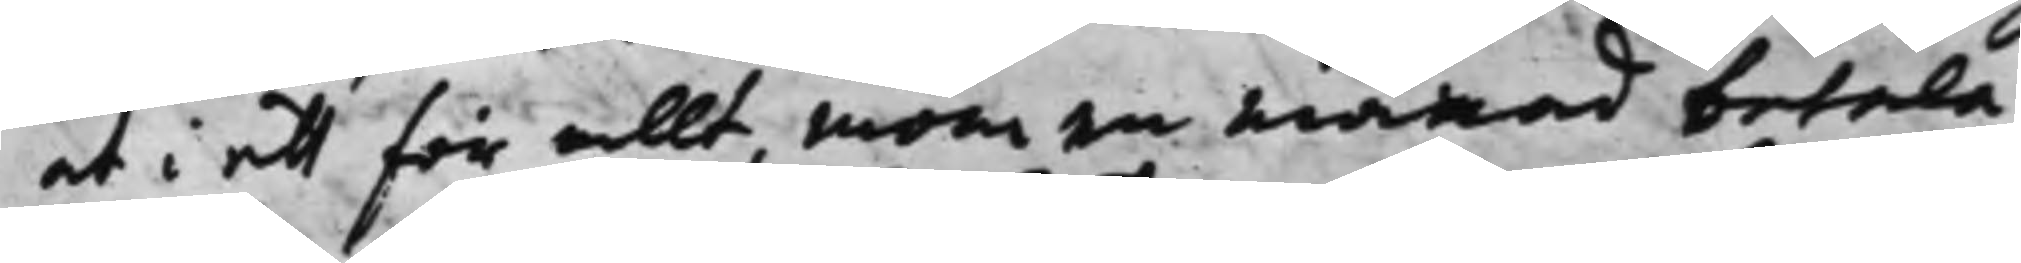at i ett för allt, inom en Månad betala
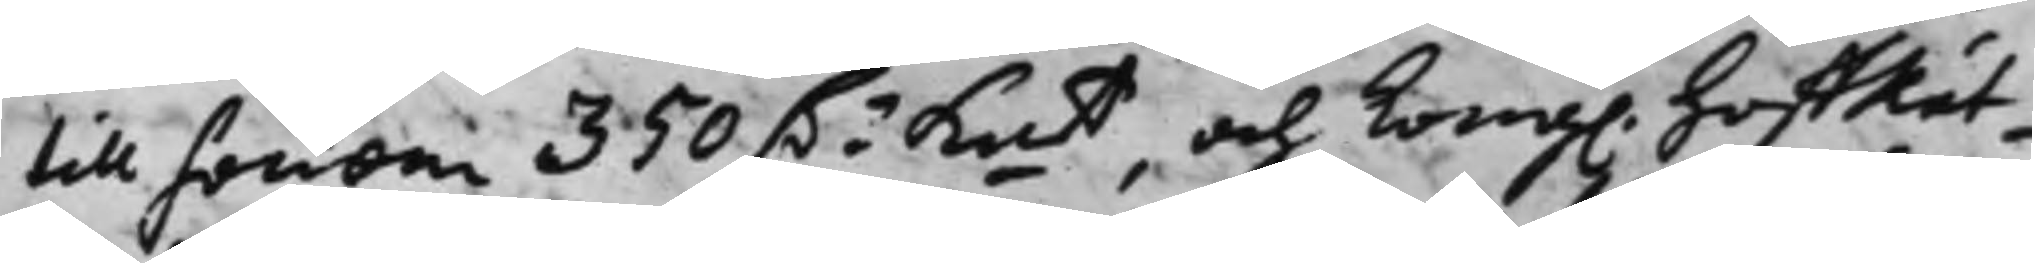till honom 350 D.r Kmt och Kong. HoffRät¬
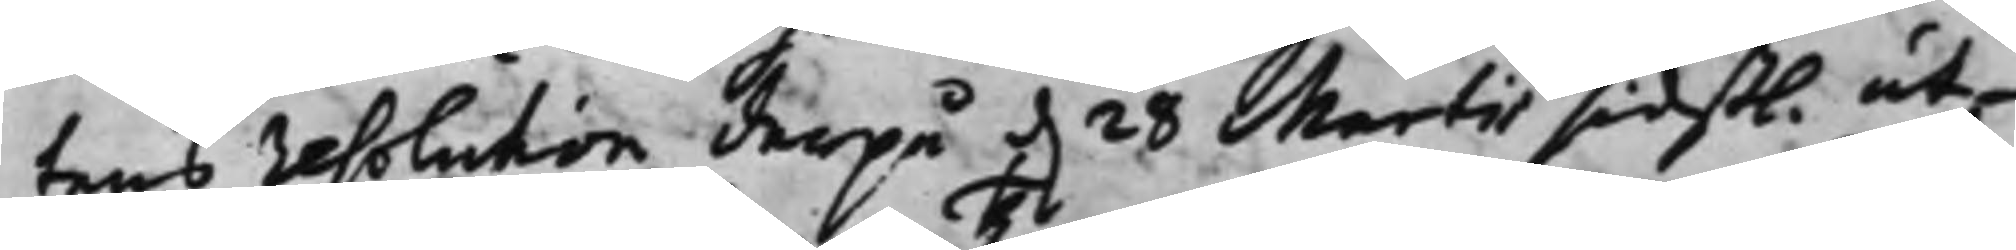tens resolution derpå d. 28 Martii sidstl. ut¬
